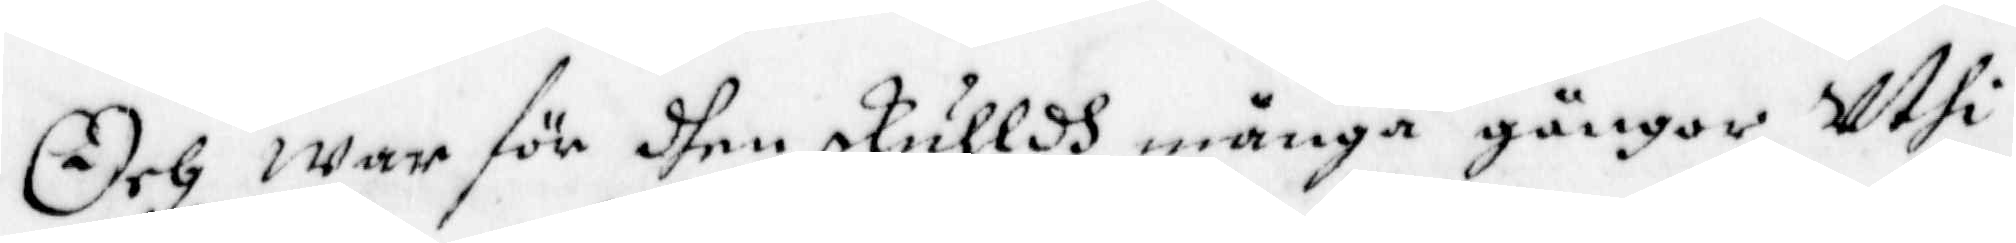Och war för dhen skulldh många gånger Uthi
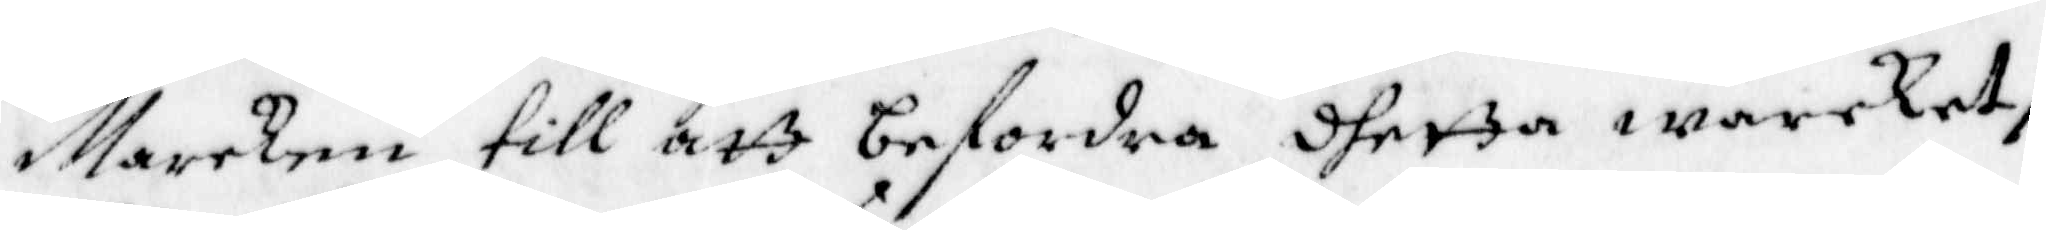Marcken till att befordra dhetta warcket,
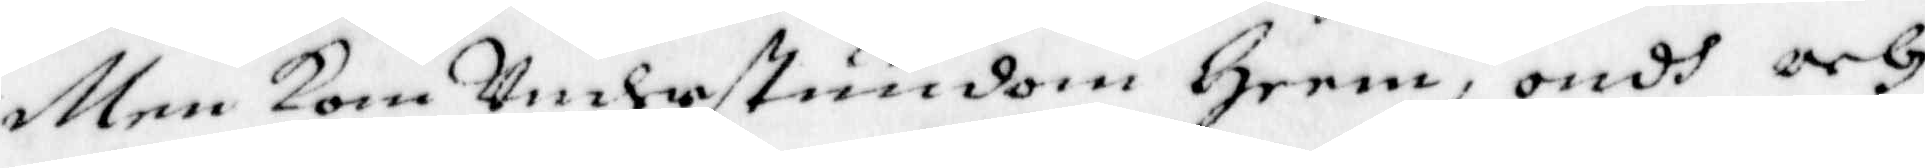Men kom Understundom Heem, ondh och
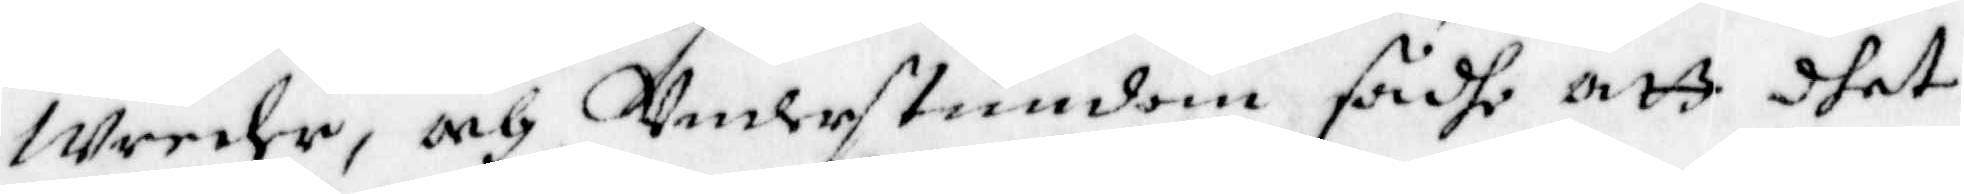wreder, och Understundom sadhe att dhet
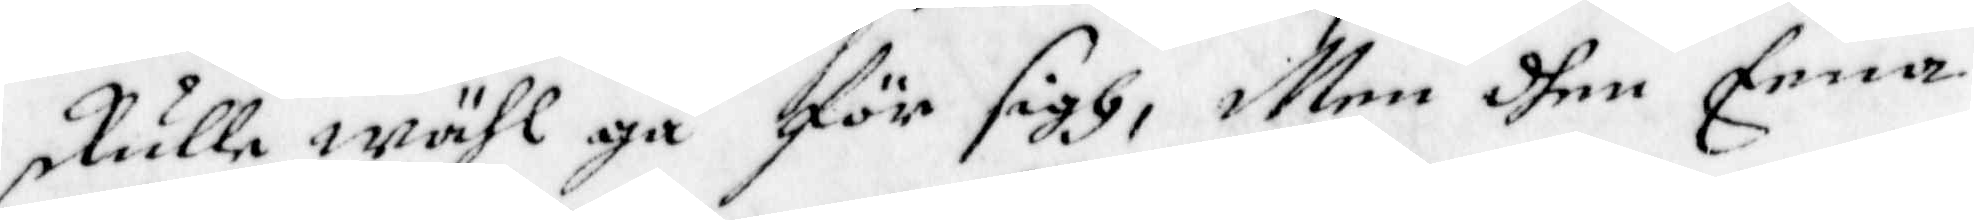skulle wähl gå för sigh, Men dhen Eena
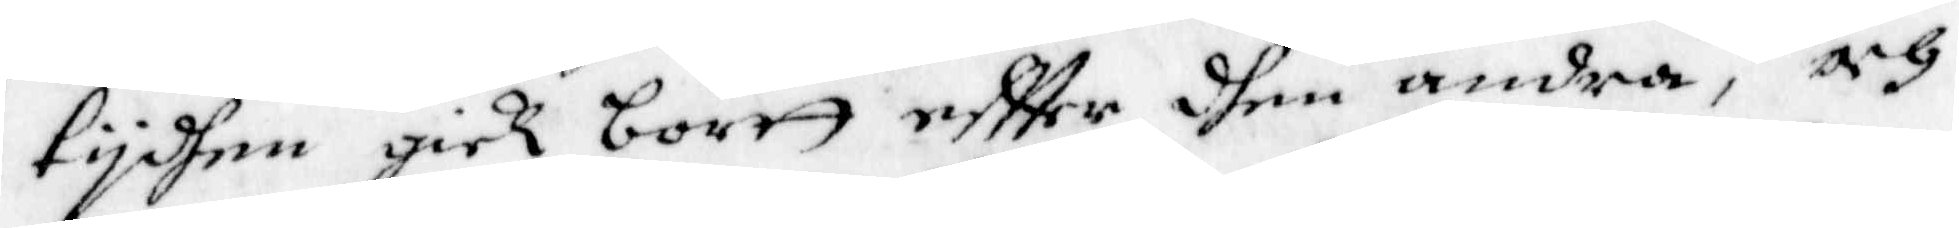tydhen gick bortt eftter dhen andra, och
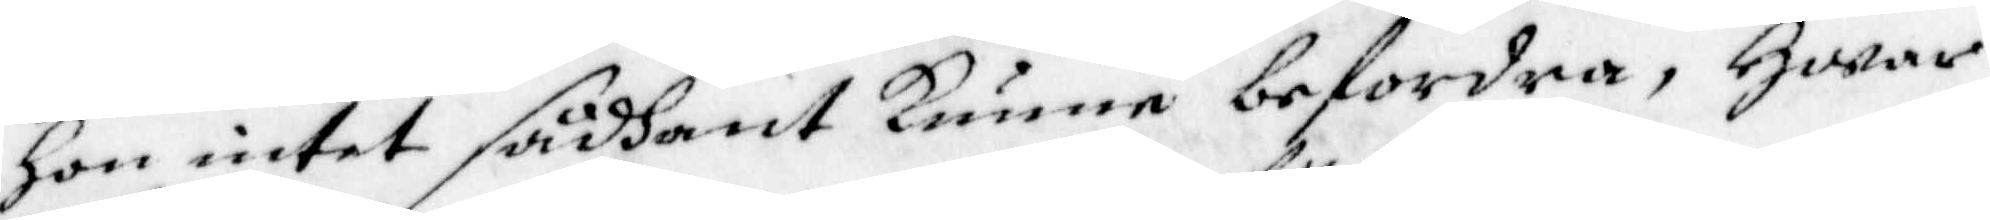Hon intet sådant kunne befordra, Hwaar
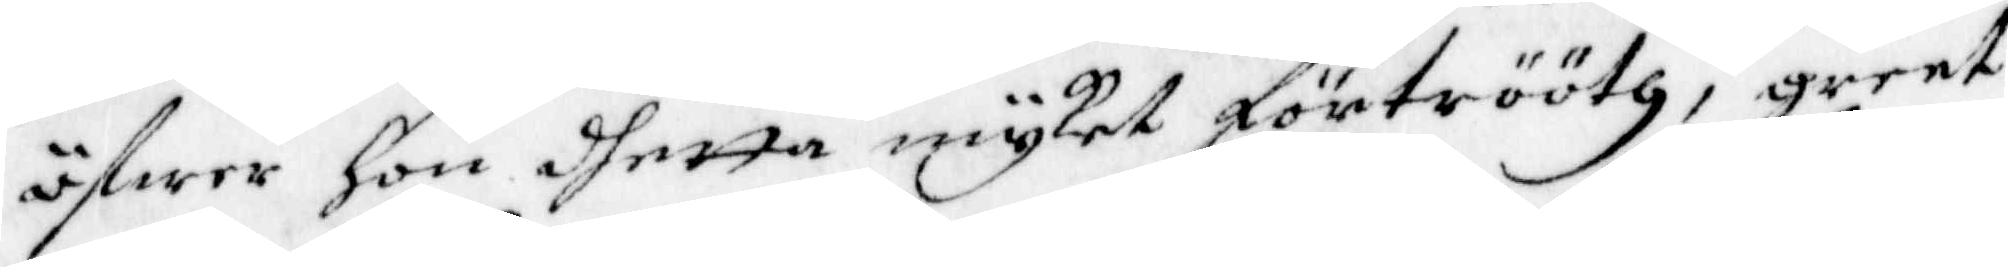öfwer Hon dhetta myket förtrööth, grent
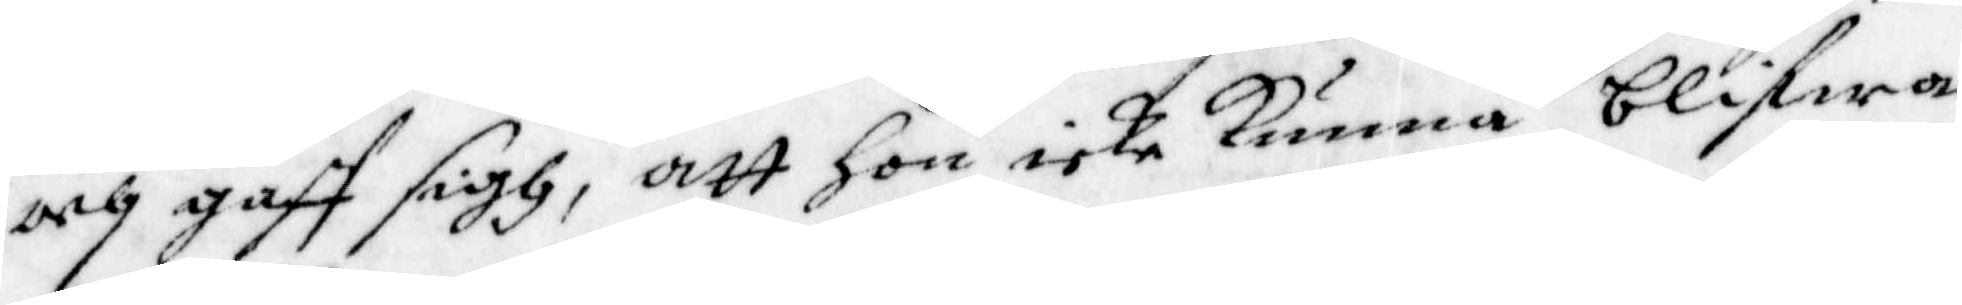och gaff sigh, att hon icke kunna blifwa
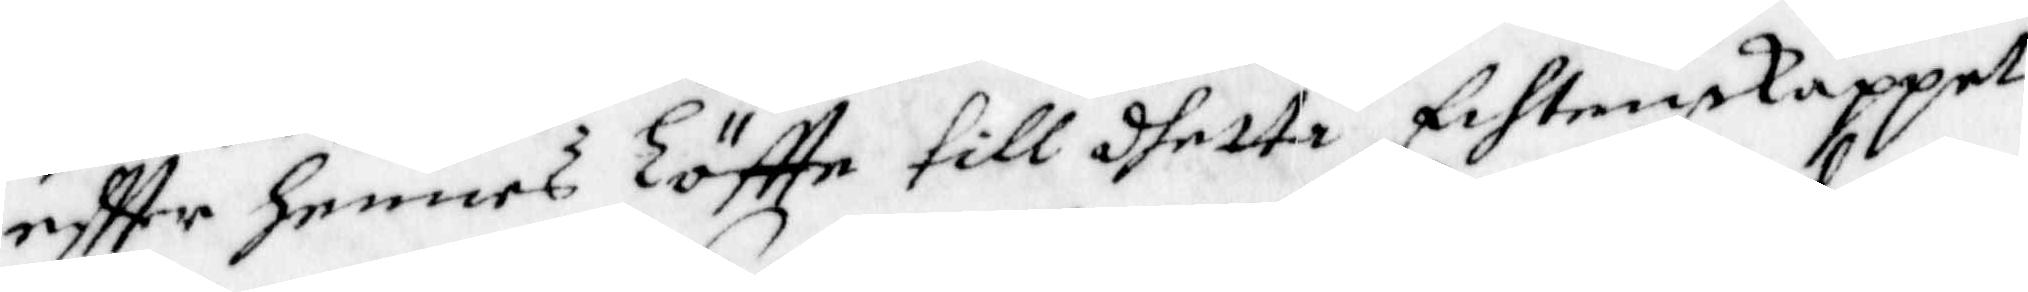eftter hennes Löftte till dhetta Echtenskappet
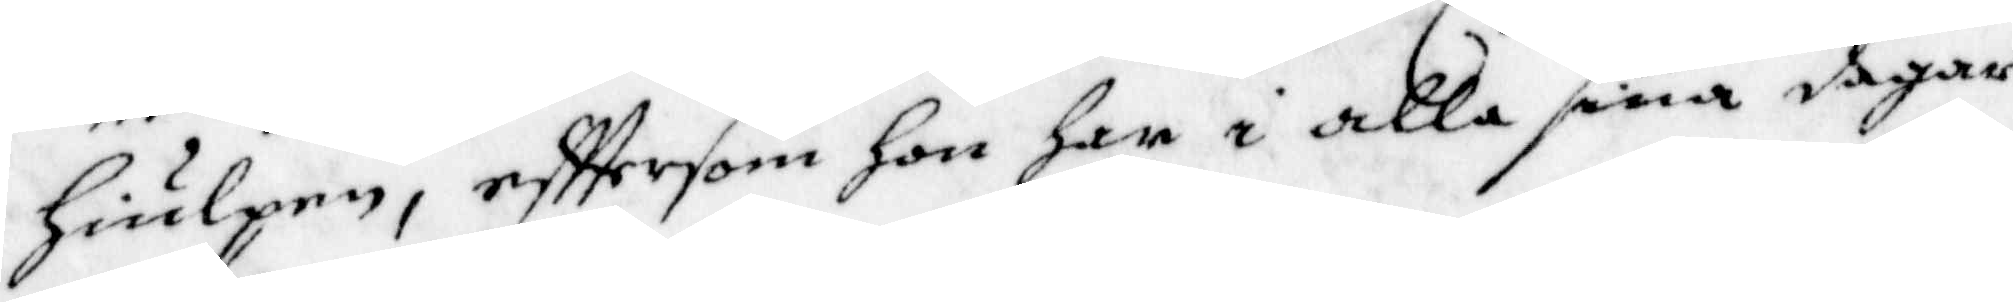hiulpen, efftersom hon har i alla sina dagar
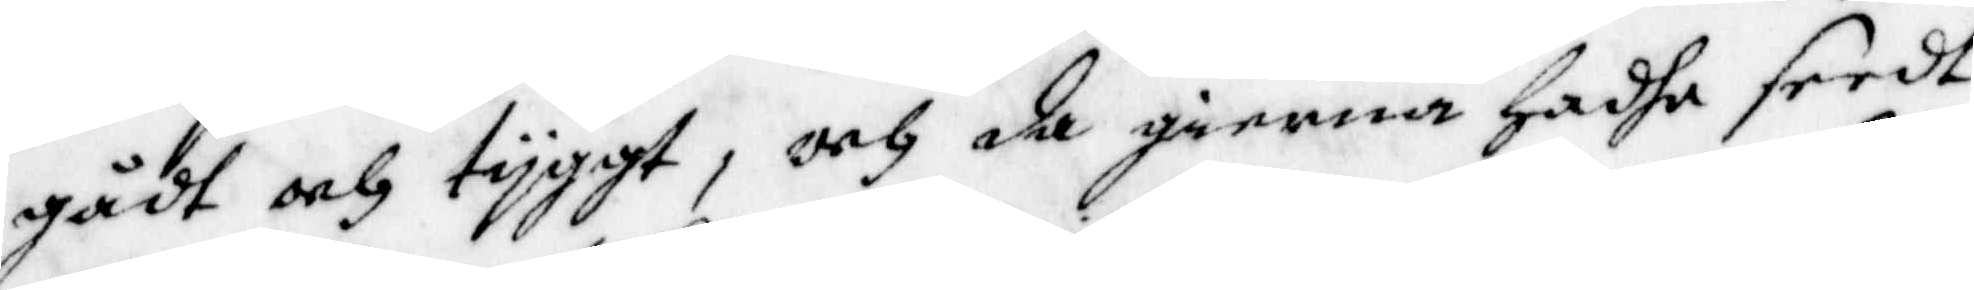gådt och tyggt, och da gierna hadhe seedt
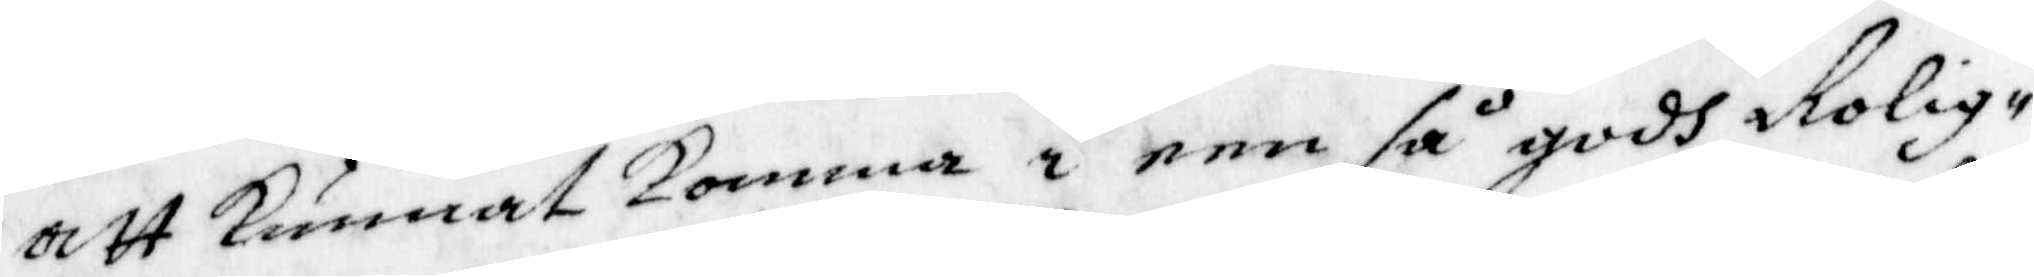att Kunnat Komma i een så godh Rolig¬
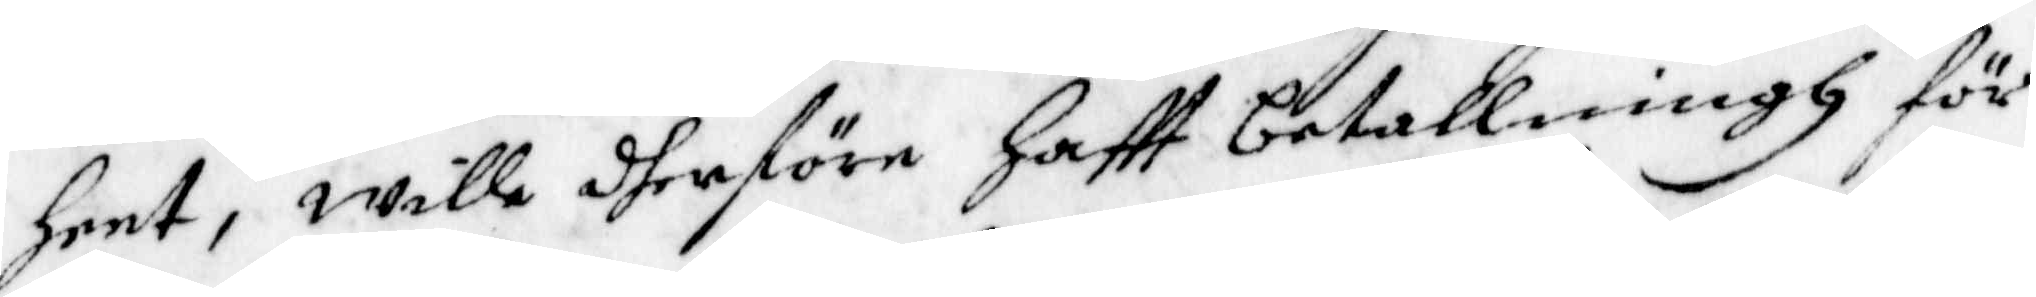heet, wille dherföre Haftt betallningh för
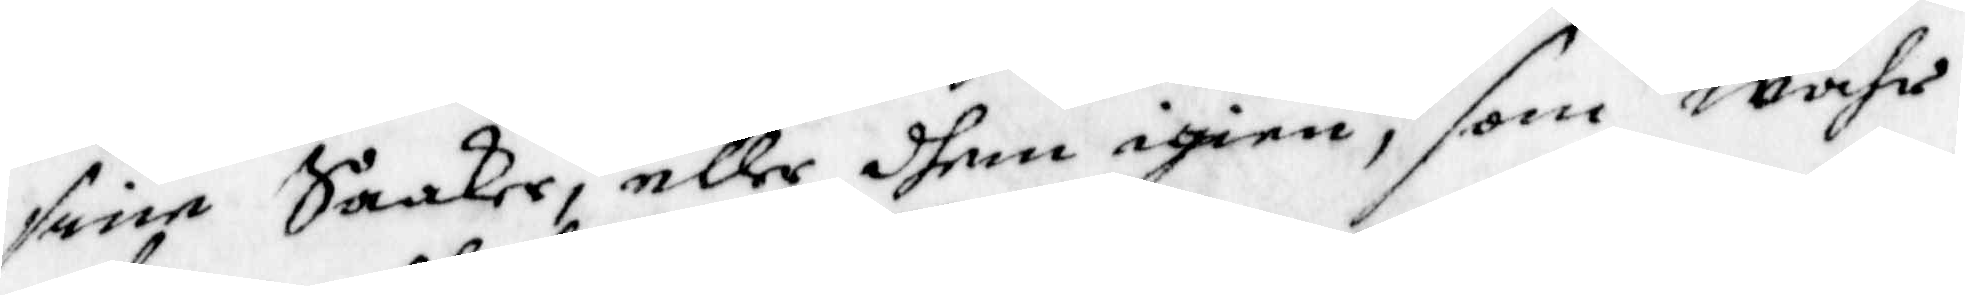sine Saaker, eller dhem igien, som wahr
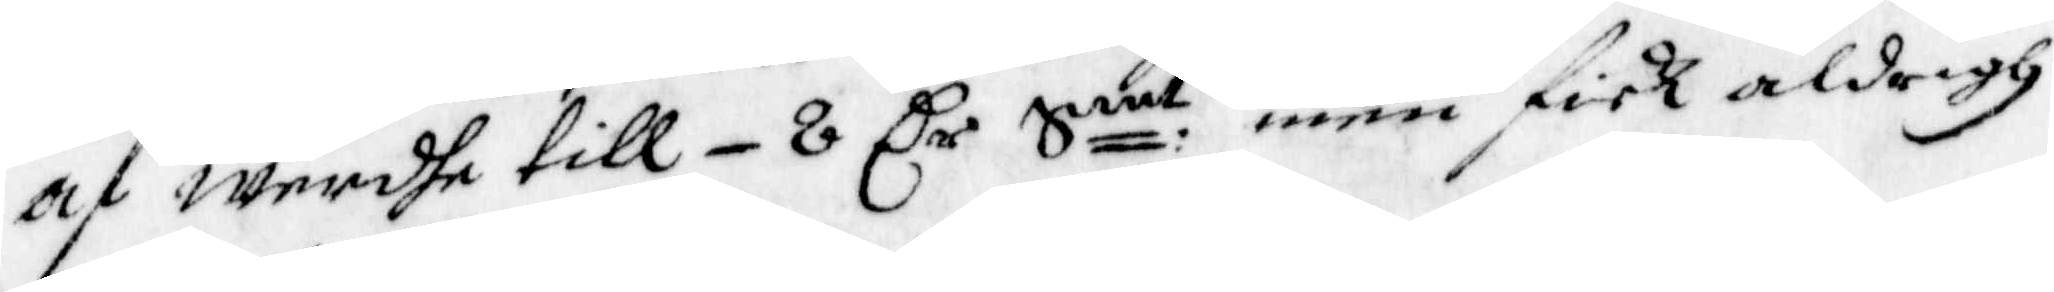af werdhe till - 8 Cr Smt, men fick aldrigh
